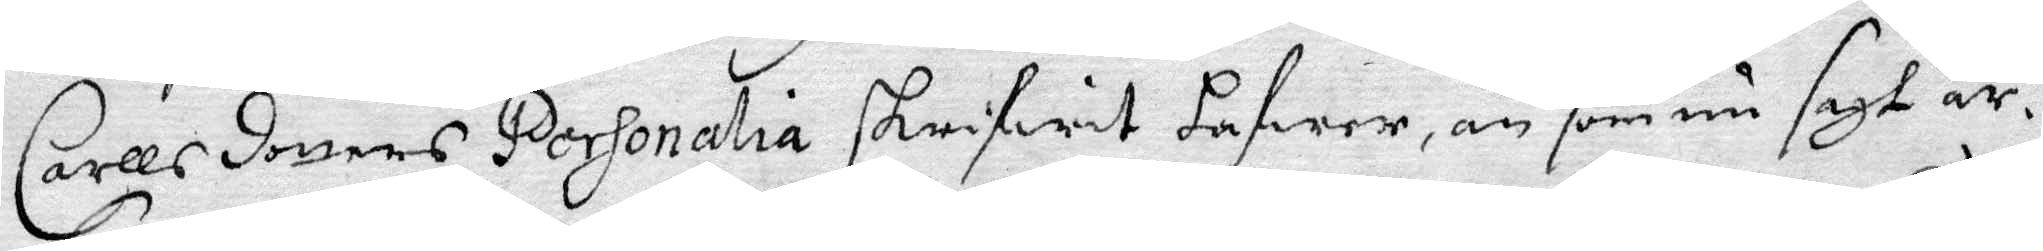Carllsdotters Personalia skrifwit hafwer än som nu sagt är.
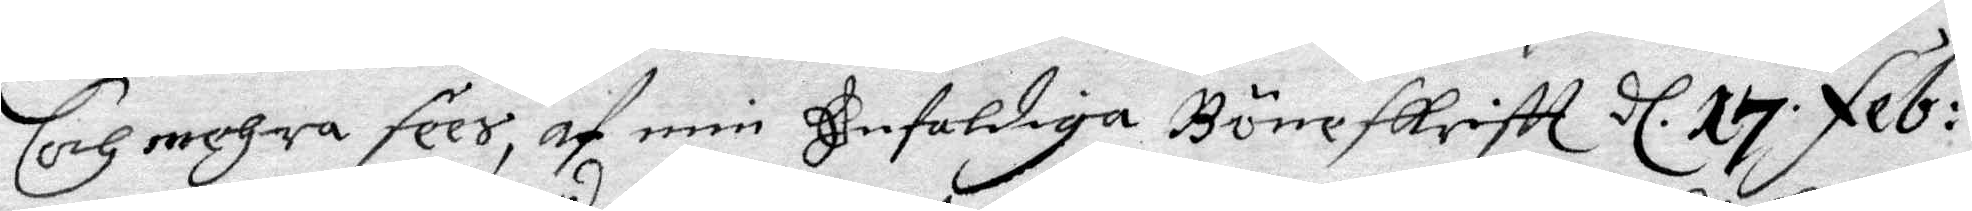och mehra fees, af min Enfaldiga Böneskriftt d. 17. feb:
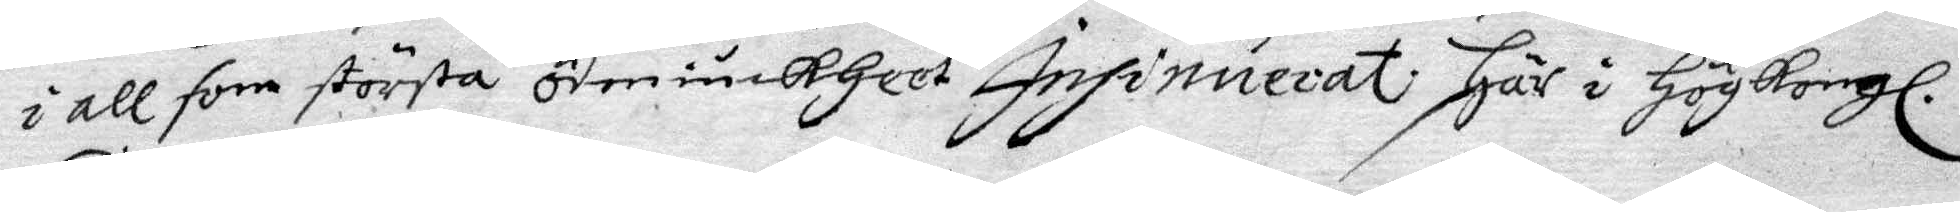i all som största ödmiukheet Insinuerat här i Hög Kongl.
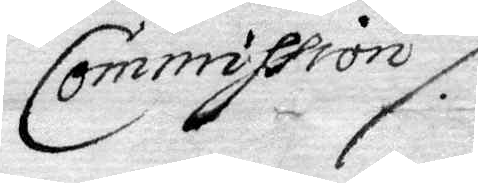Commission /.
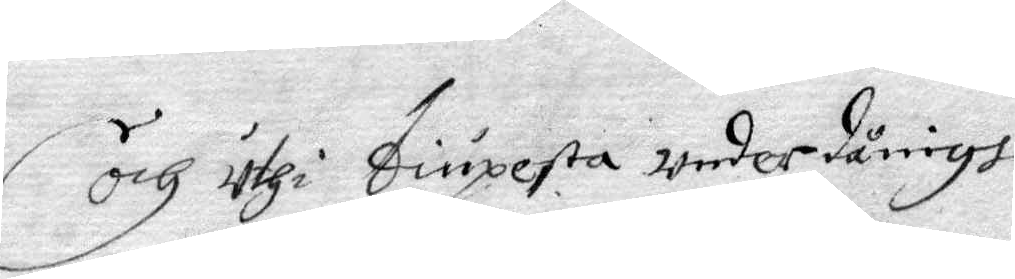och uthi diupesta underdånigh
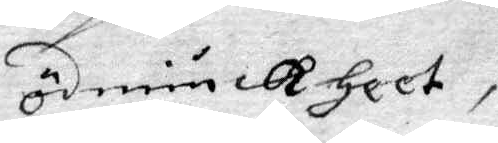ödmiukheet,
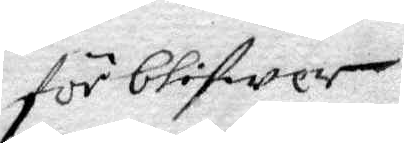förblifwer
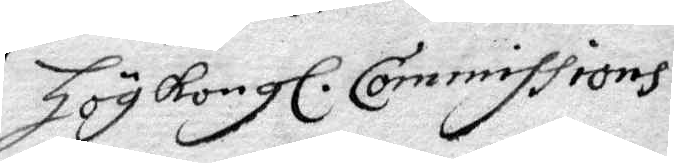Hög Kongl. Commissions
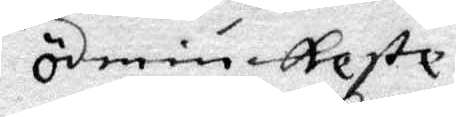ödmiukeste
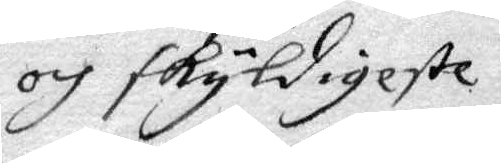och skyldigeste
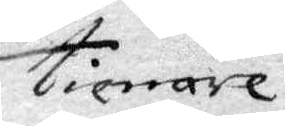tienare
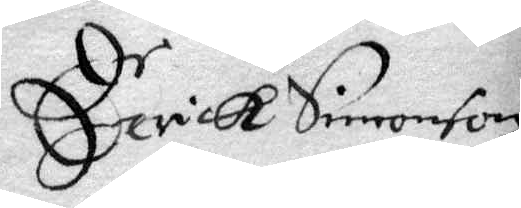Eerick Simonson
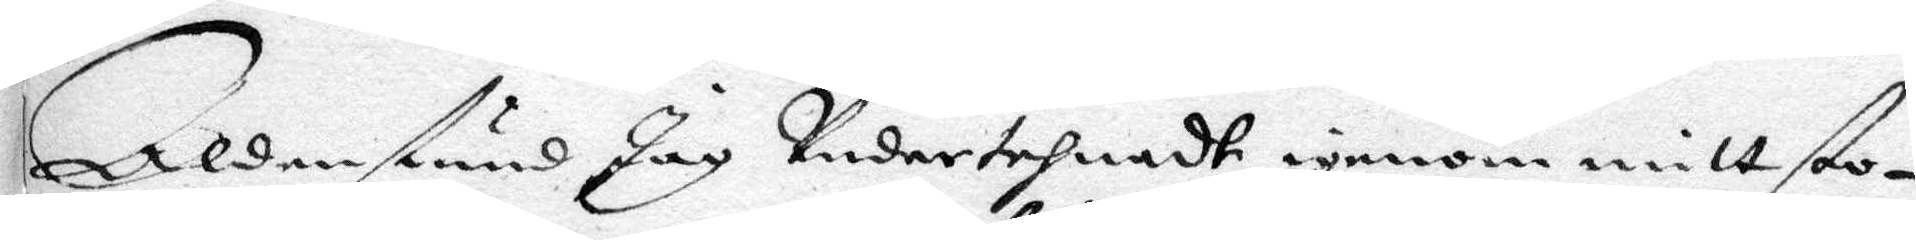Alldenstund Jag Undertehnadt igenom mitt sto¬
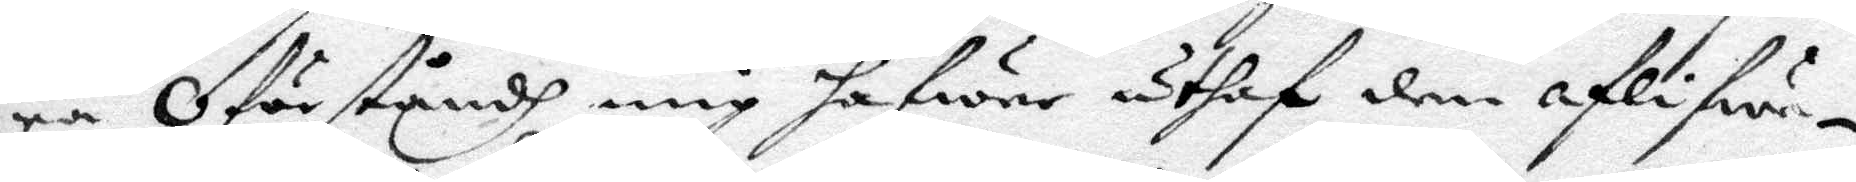ra Oförståndh mig hafwer utaf den aflifwa¬
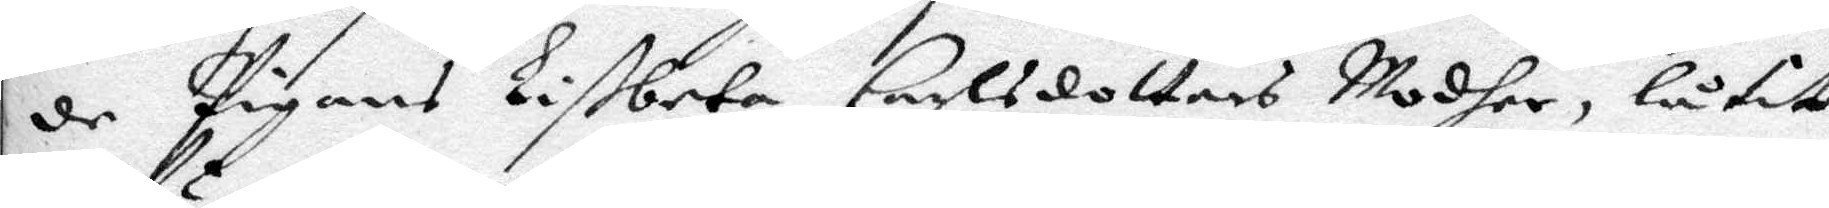de pigans Lisbeta Carlsdotters Modher, låtit
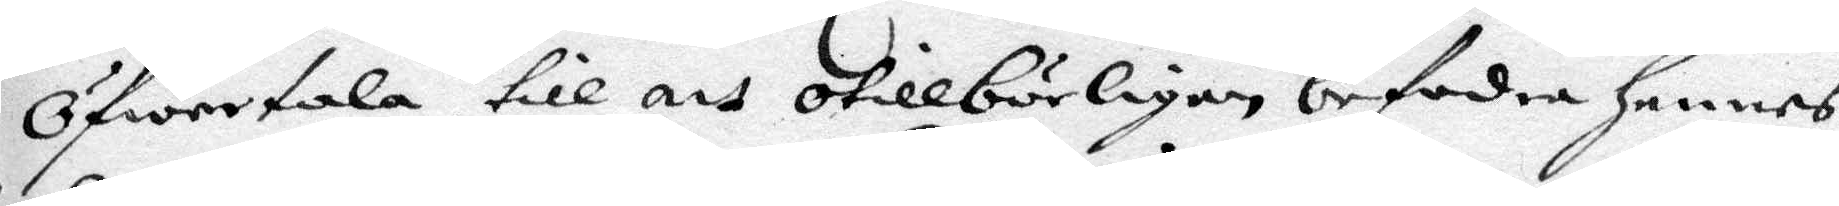Öfwertala til att otillbörligen befordra hennes
